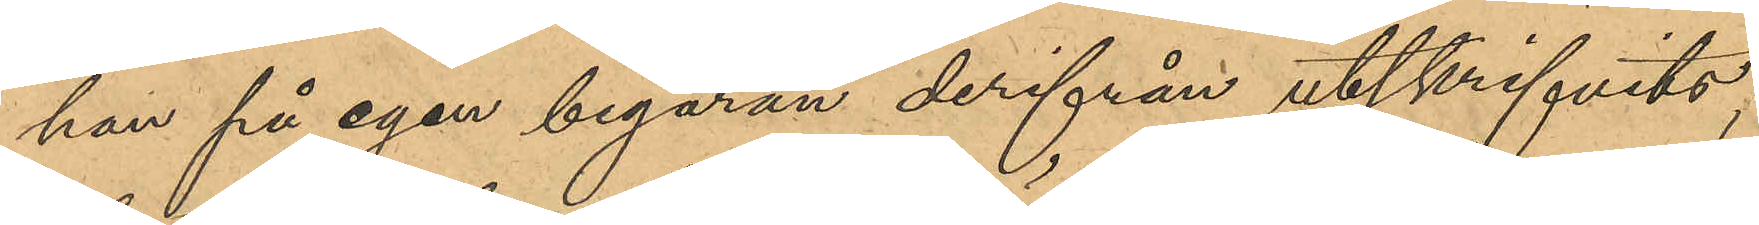han på egen begäran derifrån utskrifvits;
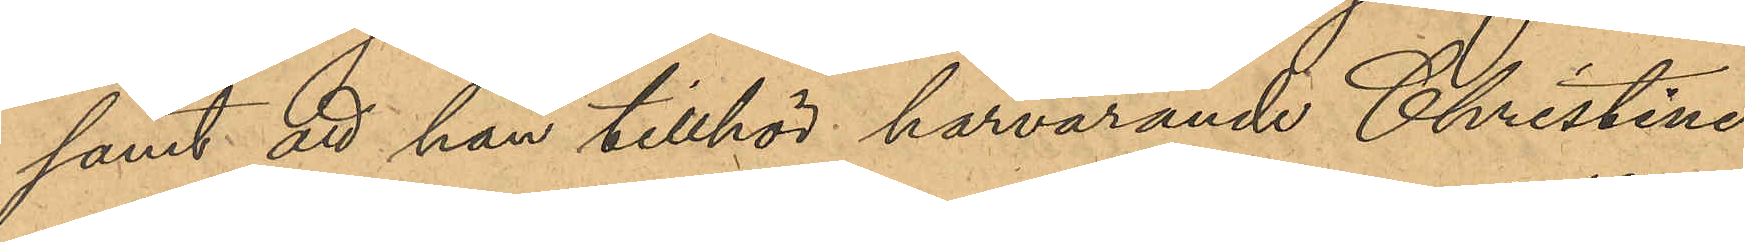samt att han tillhör härvarande Christine
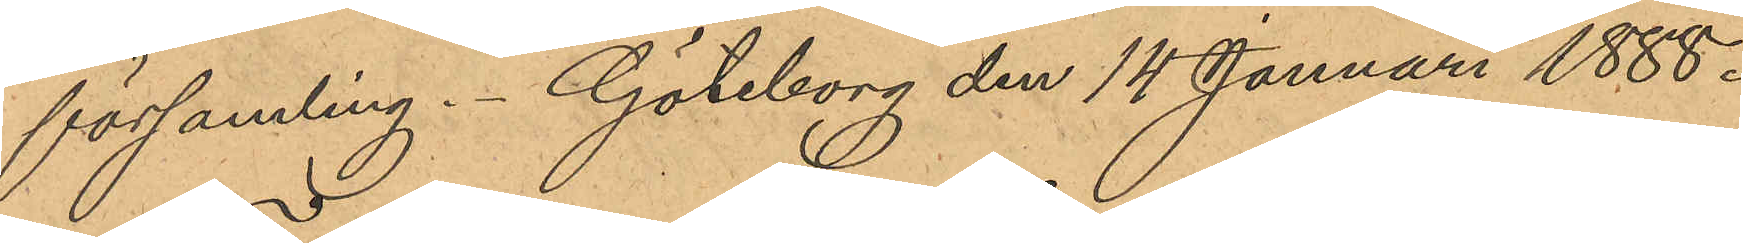församling. Göteborg den 14 Januari 1888.
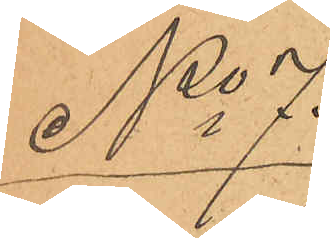No 7
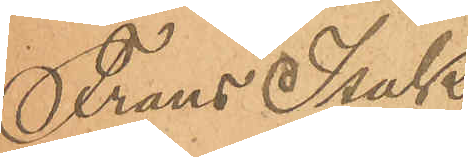Frans Isak
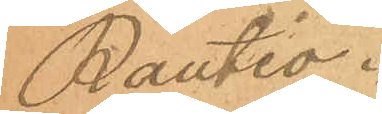Rautio.
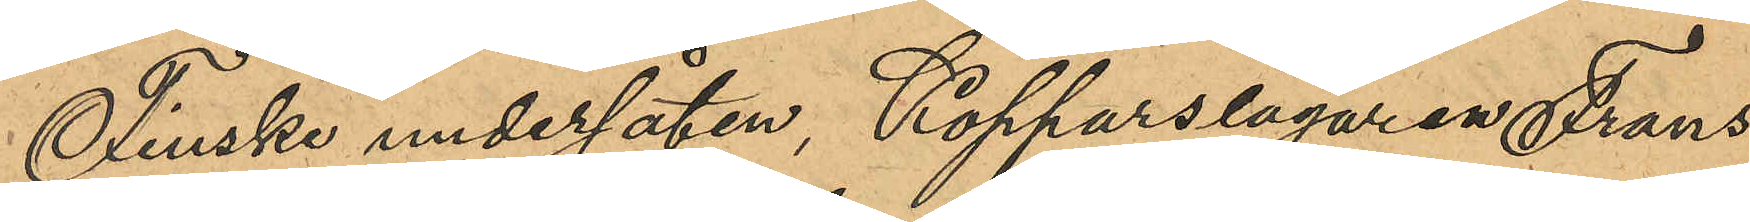Finske undersåten, Kopparslagaren Frans
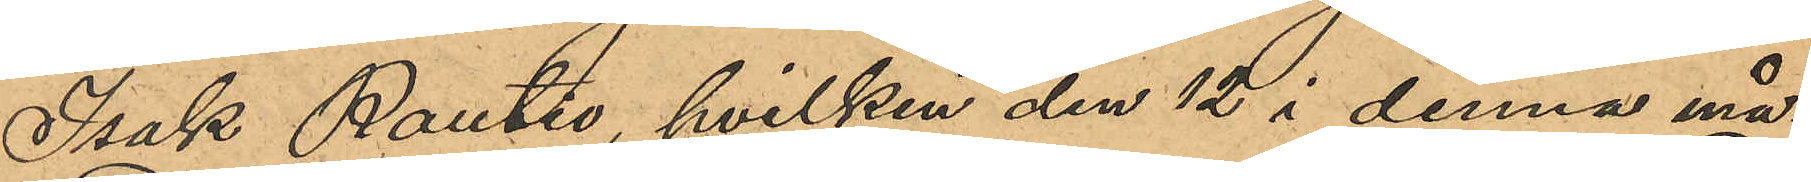Isak Rautio, hvilken den 12 i denna må¬
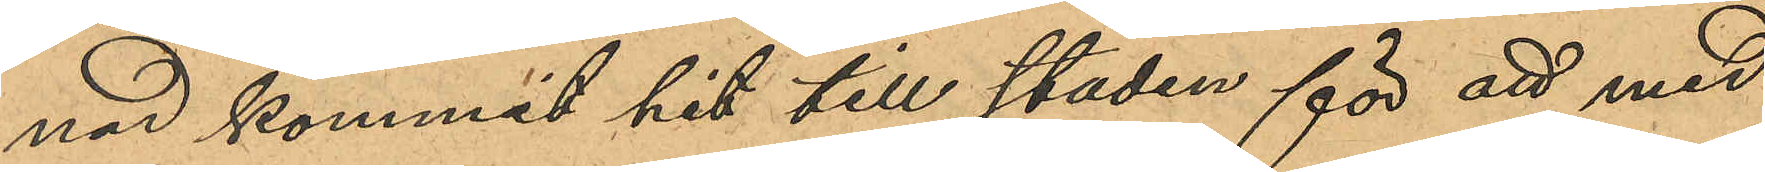nad kommit hit till staden för att med
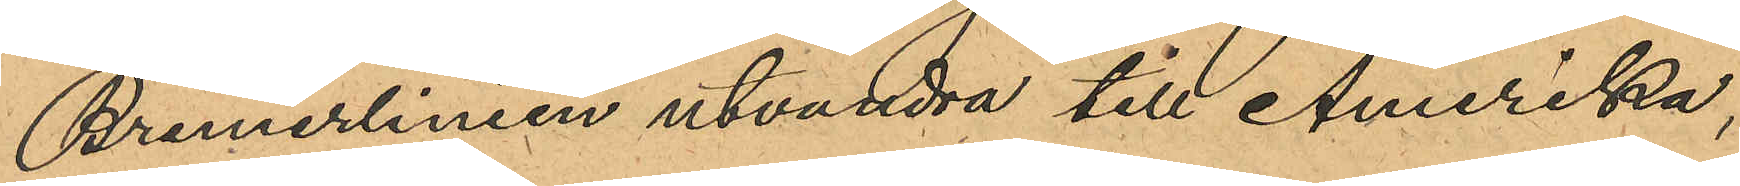Bremerlinien utvandra till Amerika,
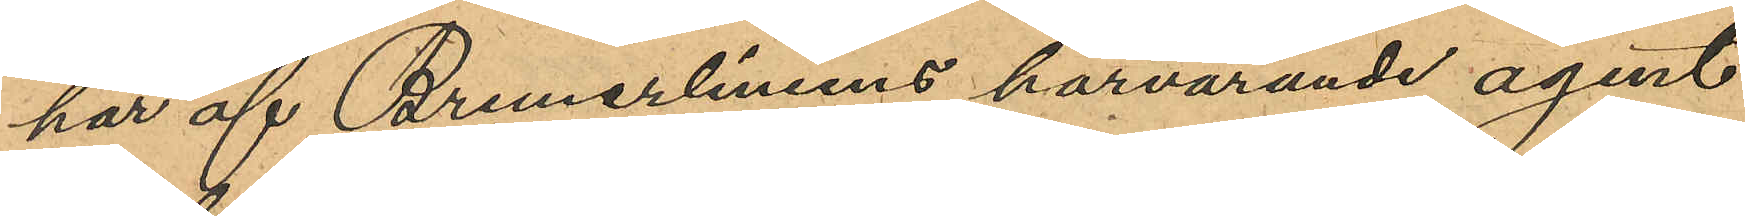har af Bremerliniens härvarande agent
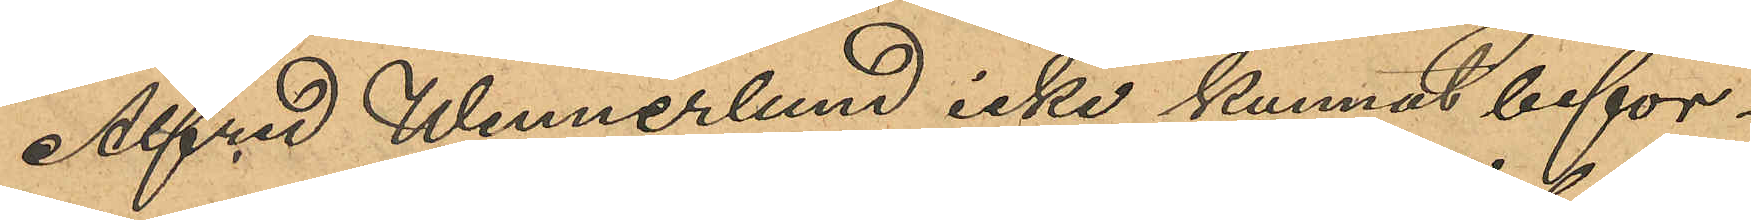Alfred Wennerlund icke kunnat befor¬
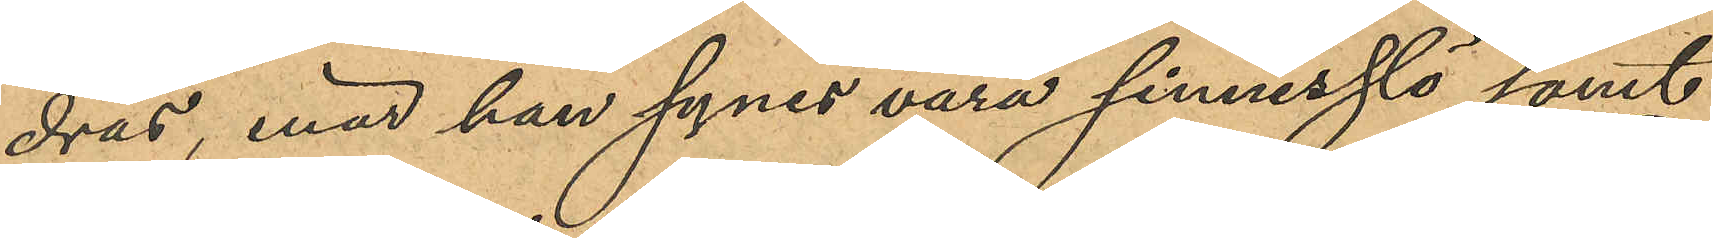dras, enär han synes vara sinnesslö samt
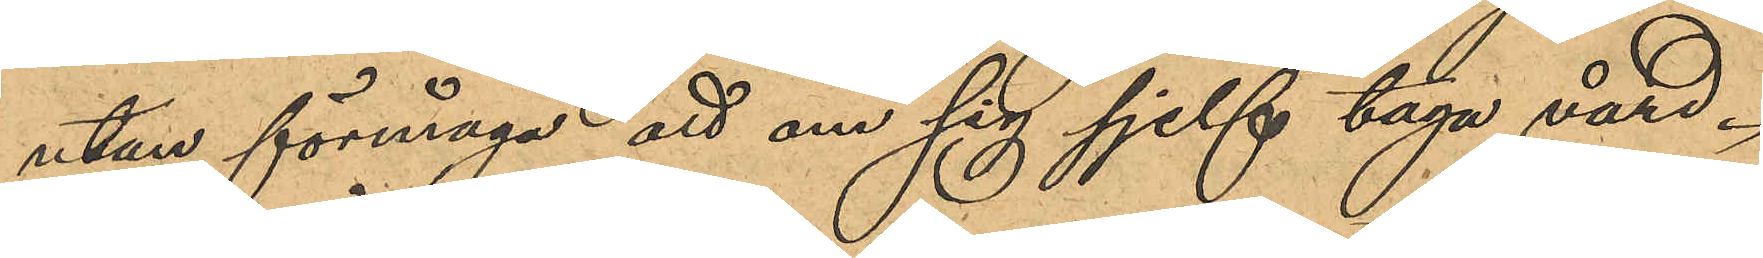utan förmåga att om sig sjelf taga vård.
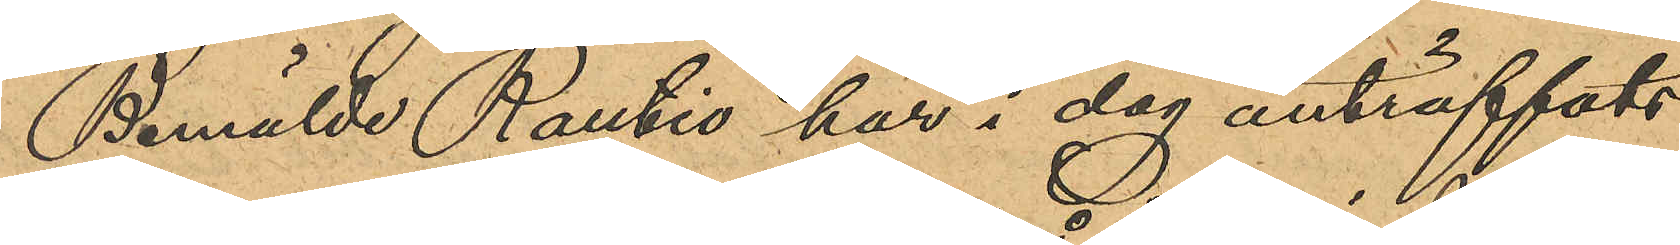Bemälde Rautio har i dag anträffats
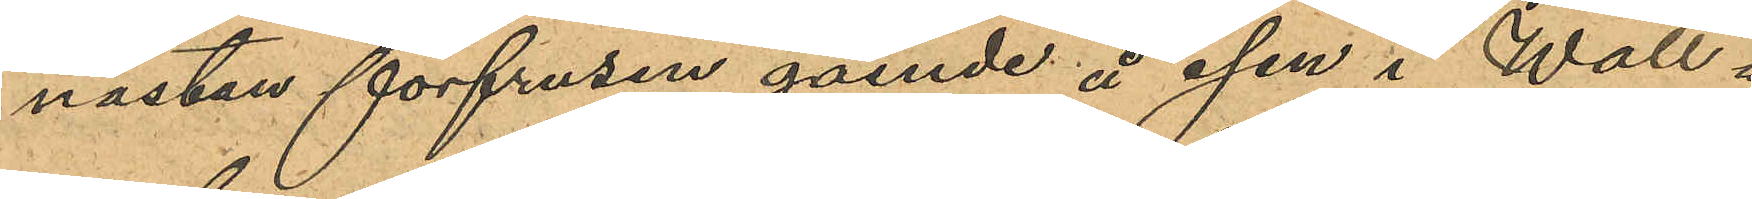nästan förfrusen gående på isen i Wall¬
